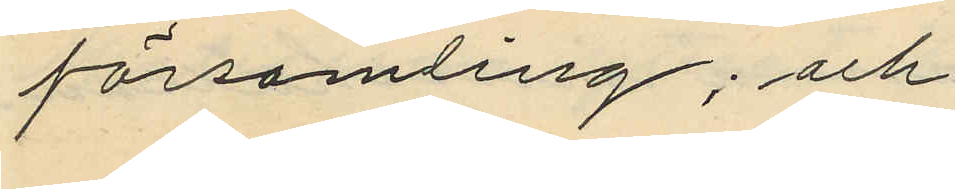församling; och
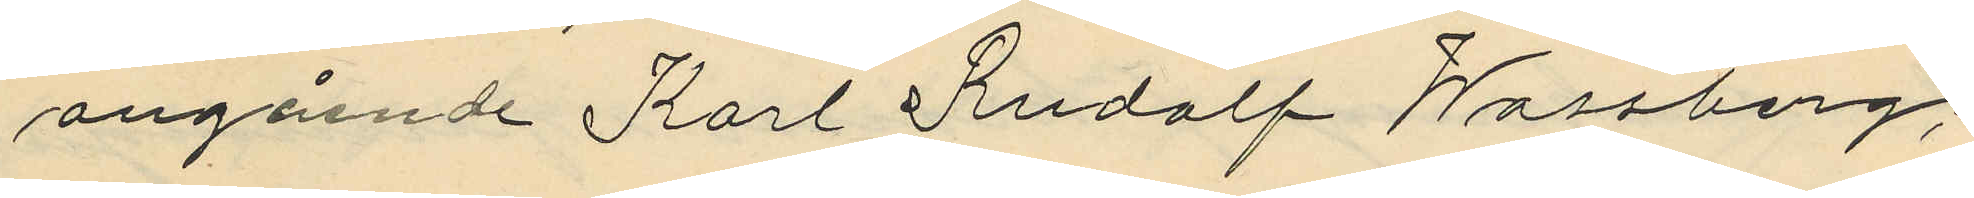angående Karl Rudolf Wassberg;
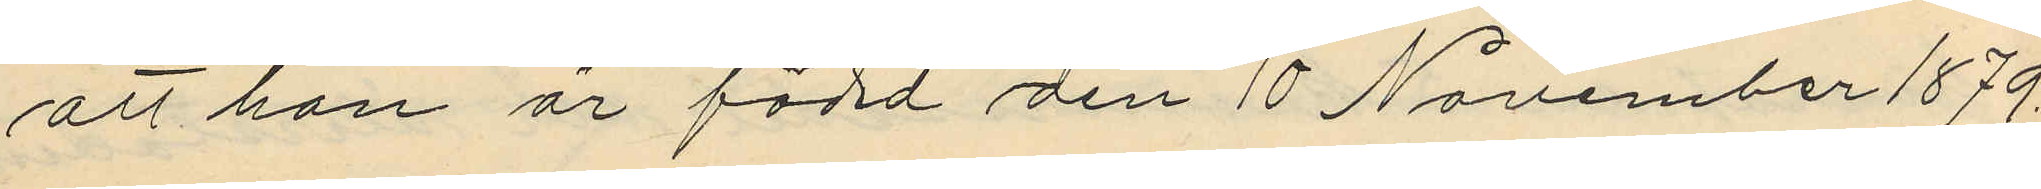att han är född den 10 November 1879.
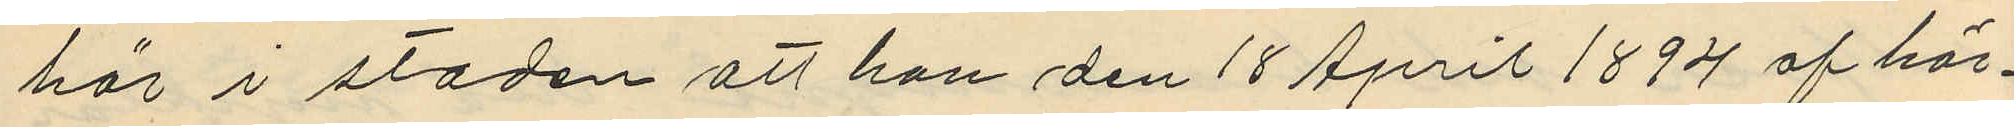här i staden att han den 18 April 1894 af här¬
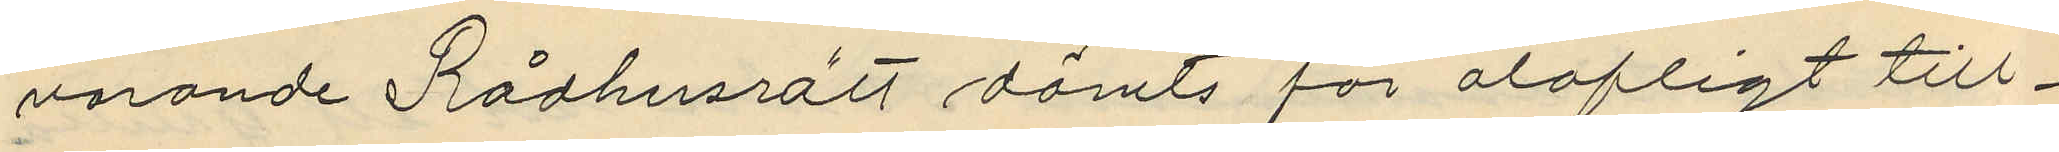varande Rådhusrätt dömts för olofligt till¬
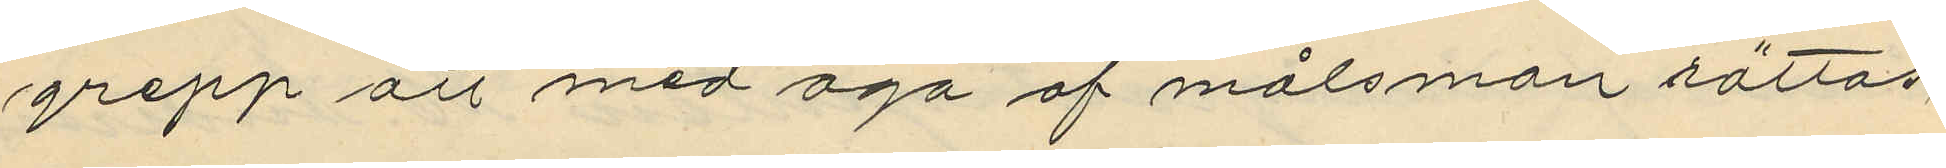grepp att med aga af målsman rättas,
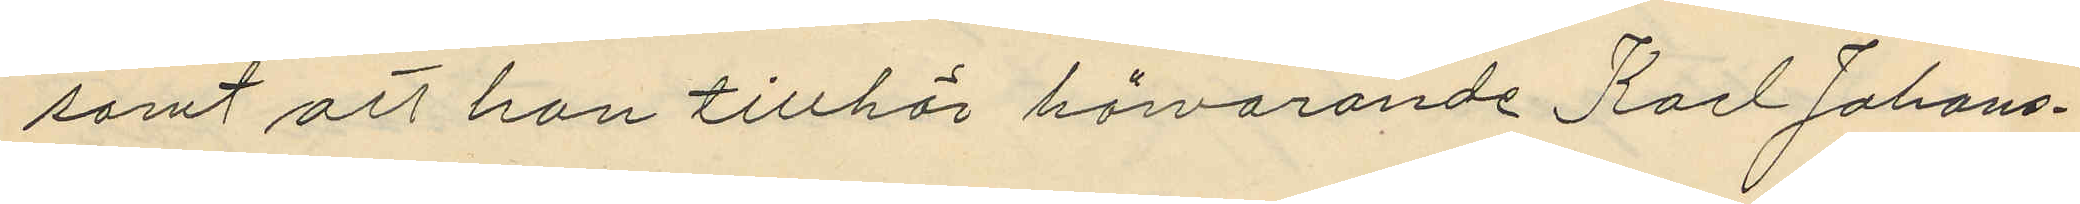samt att han tillhör härvarande Karl Johans¬
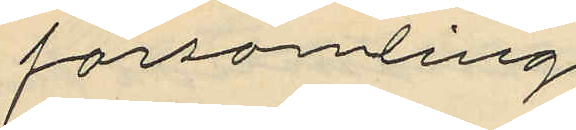församling
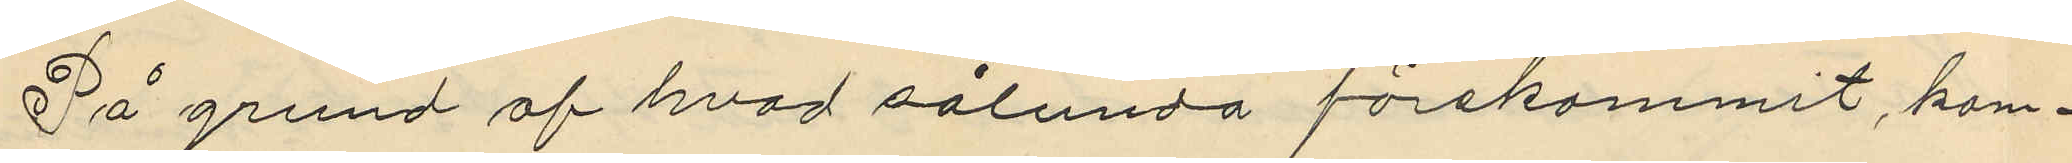På grund af hvad sålunda förekommit, kom¬
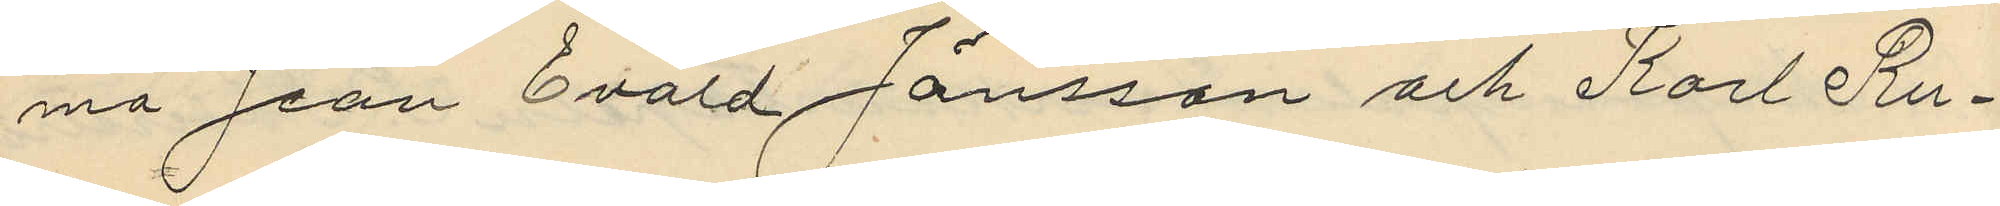ma Jean Evard Jönsson och Karl Ru¬
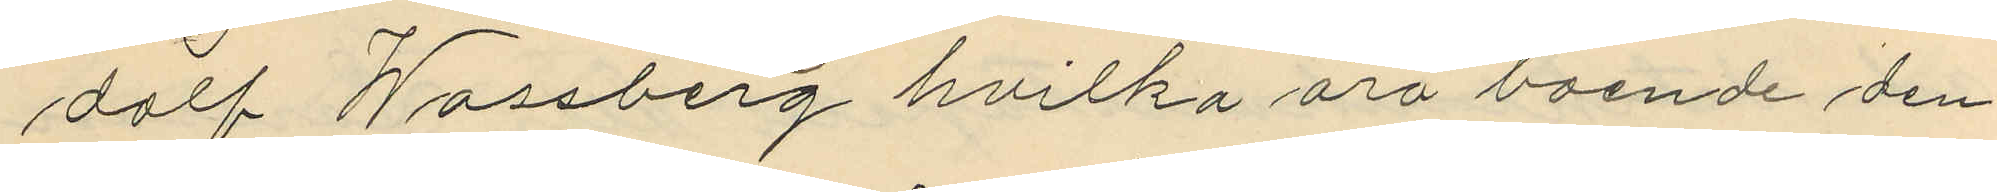dolf Wassberg hvilka äro boende den
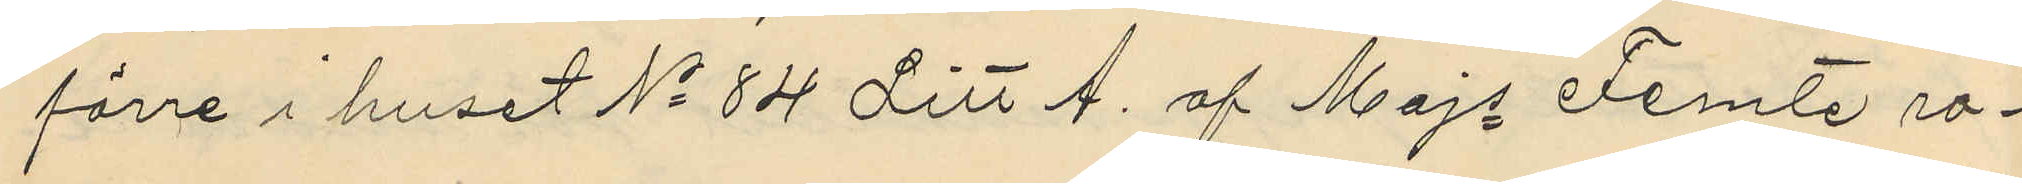förre i huset No 84 Litt A. af Majs Femte ro¬
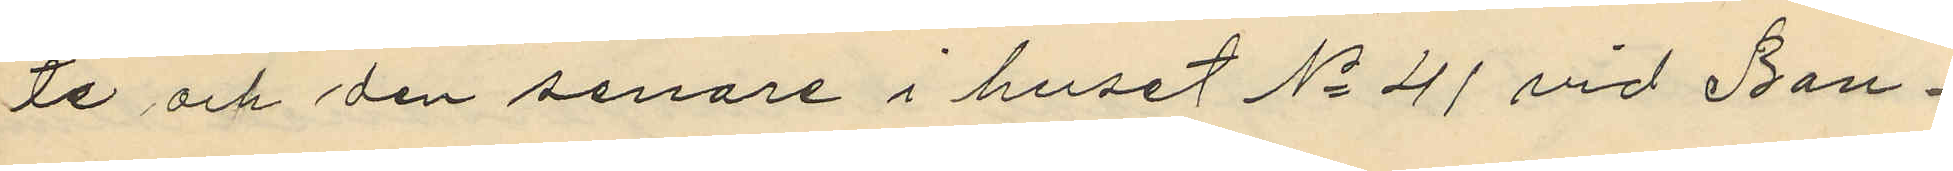te och den senare i huset No 41 vid Ban¬
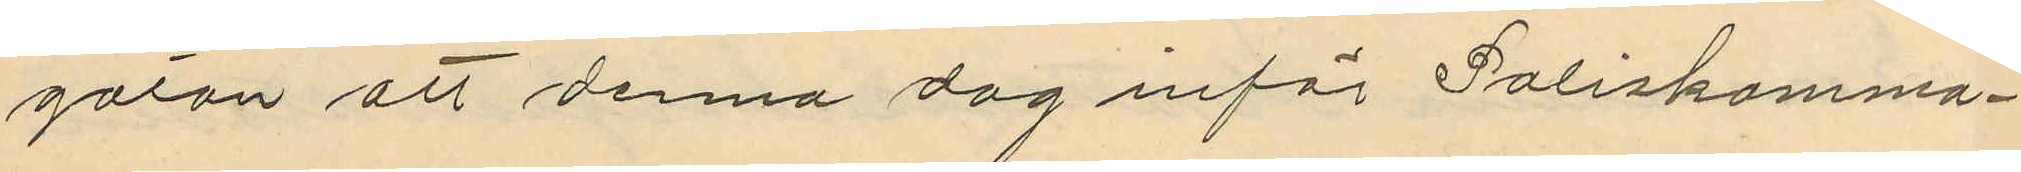gatan att denna dag inför Poliskamma¬
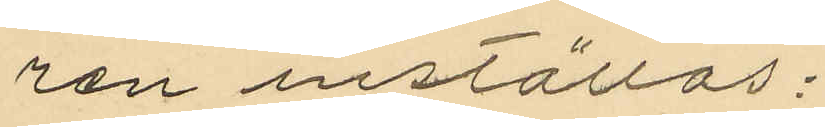ren inställas:
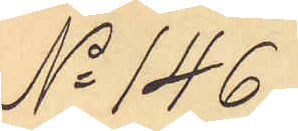No 146
